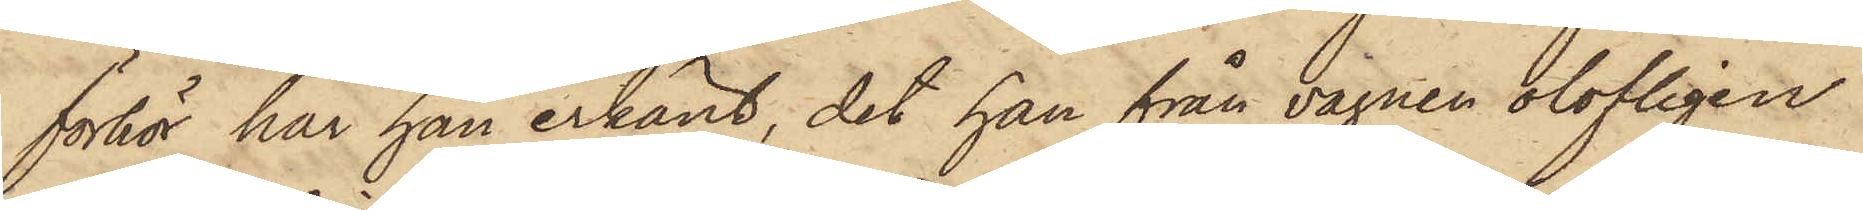förhör har han erkänt, det han från vagnen olofligen
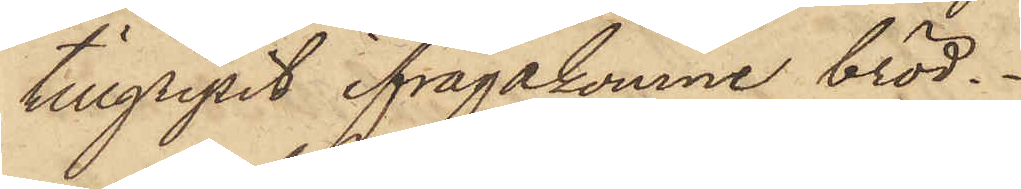tillgripit ifrågakomne bröd.
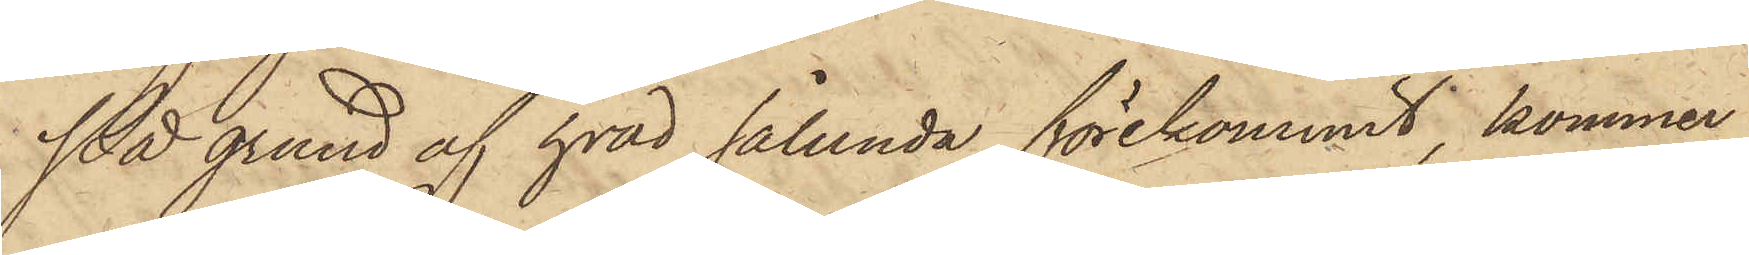På grund af hvad sålunda förekommit, kommer
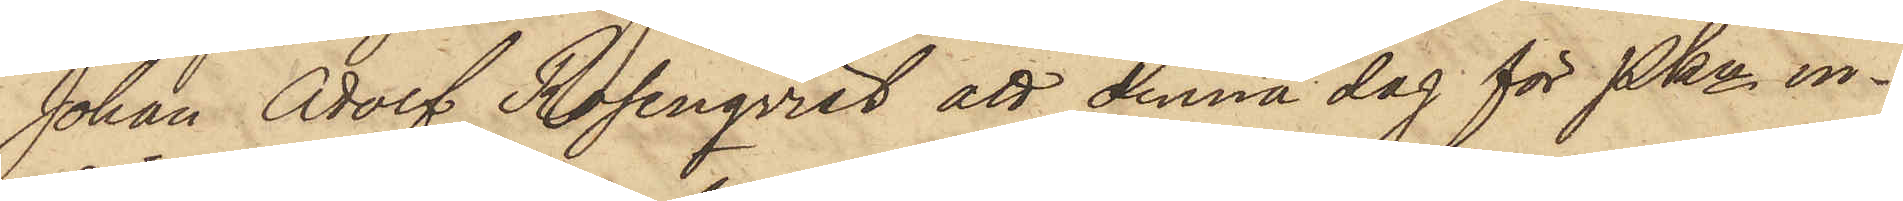Johan Adolf Rosenqvist att denna dag för Pkn in¬
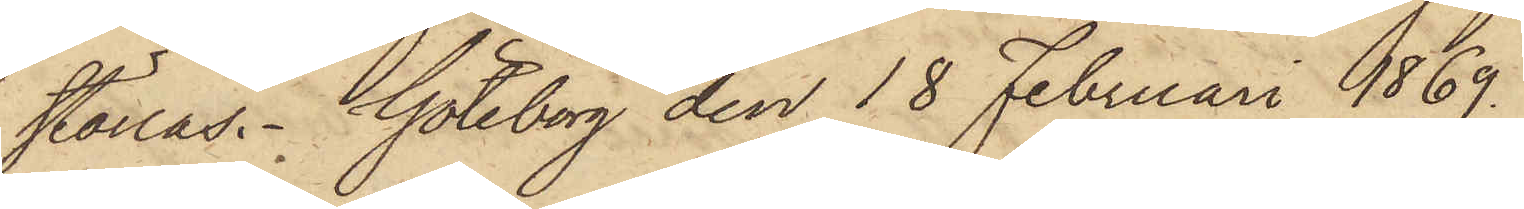ställas. Göteborg den 18 Februari 1869.
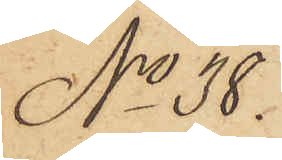No 38.
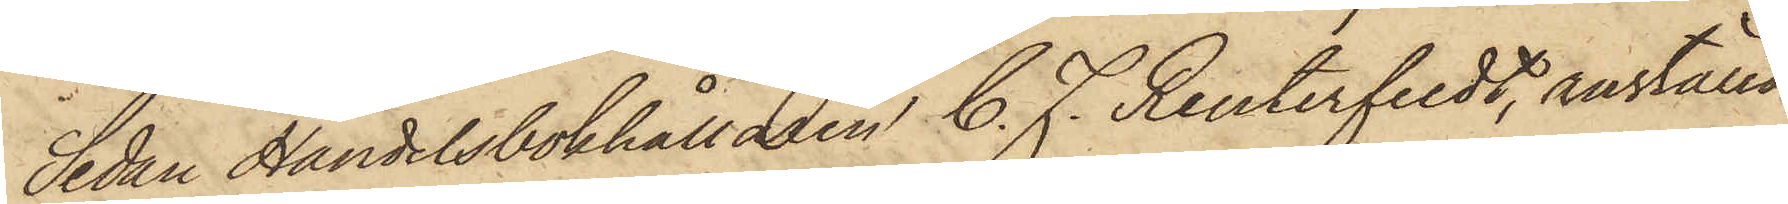Sedan Handelsbokhållaren C. F. Reuterfeldt, anställd
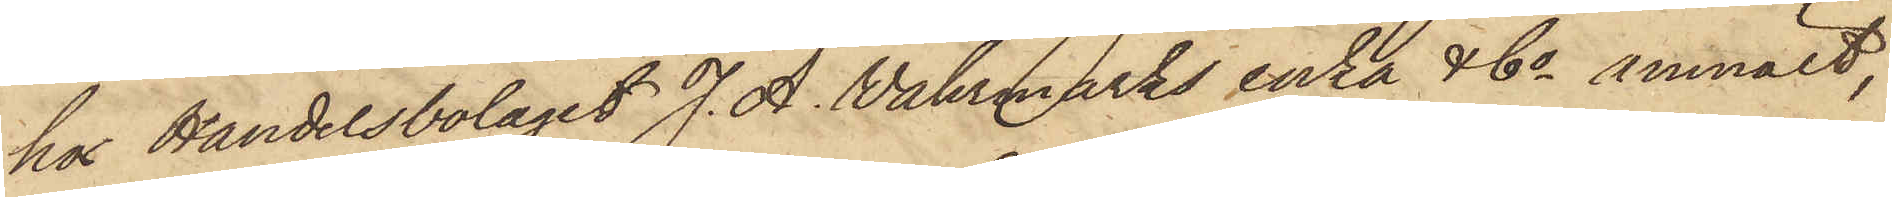hos Handelsbolaget J. A. Vahrmarks enka & Co anmält,
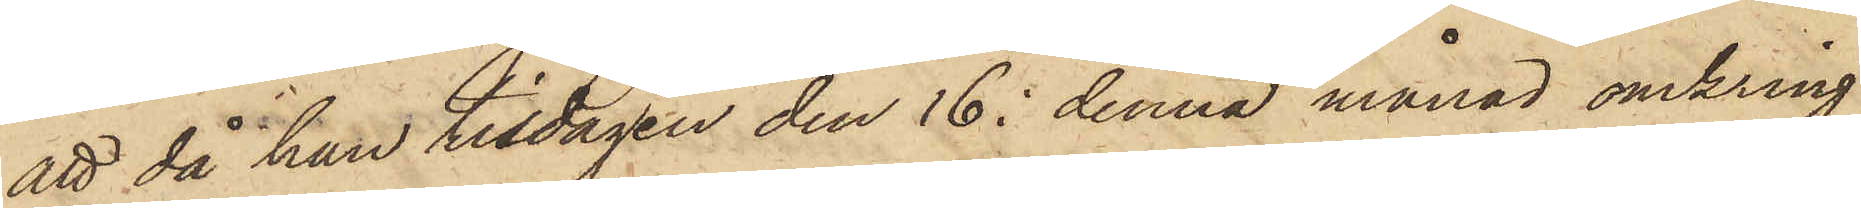att då han tisdagen den 16 i denna månad omkring
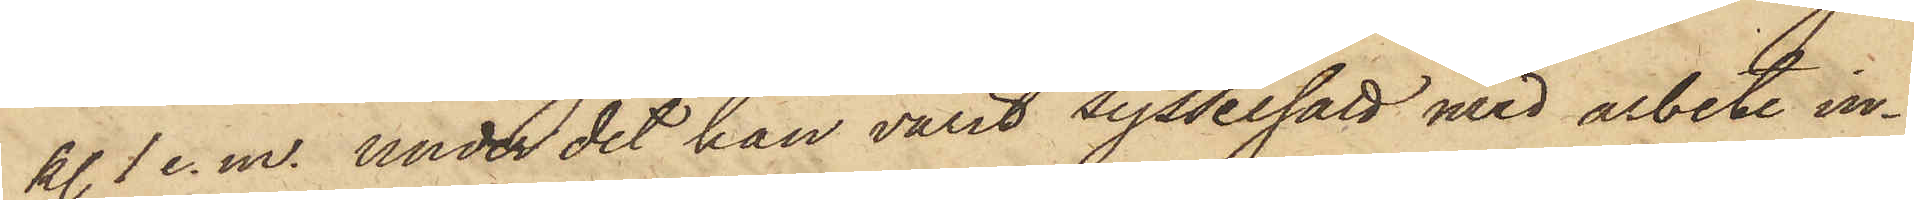kl 1 e.m. under det han varit sysselsatt med arbete in¬
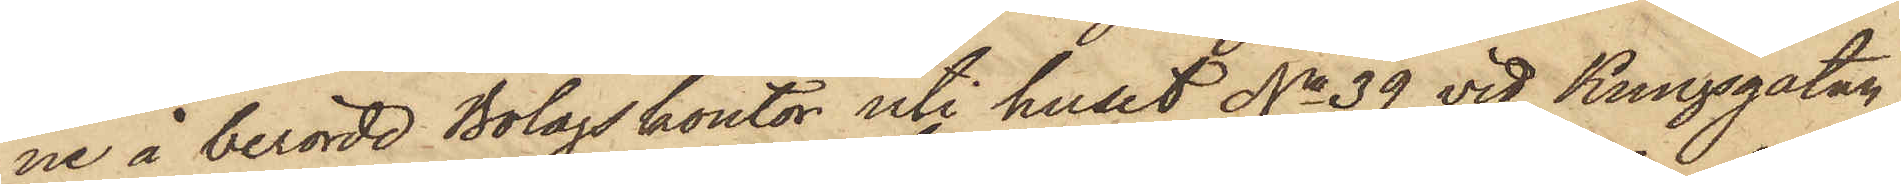ne å berörde Bolagskontor uti huset No 39 vid Kungsgatan,
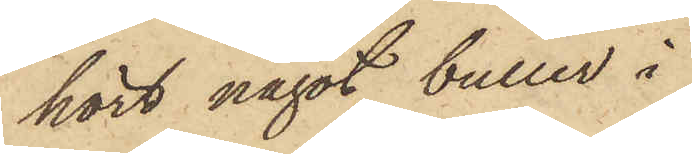hört något buller i
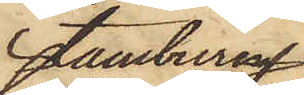tamburen
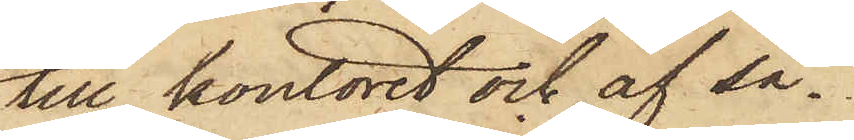till kontoret och af så¬
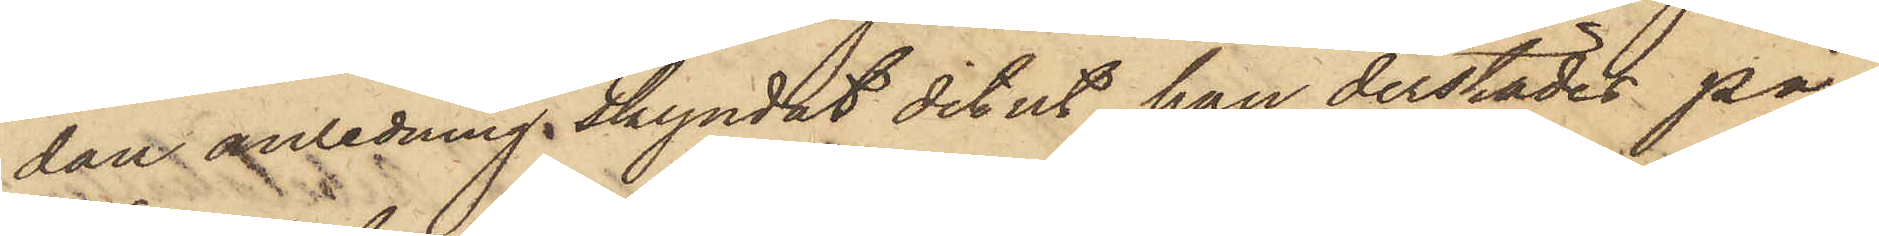dan anledning skyndat dit ut, han derstädes på¬
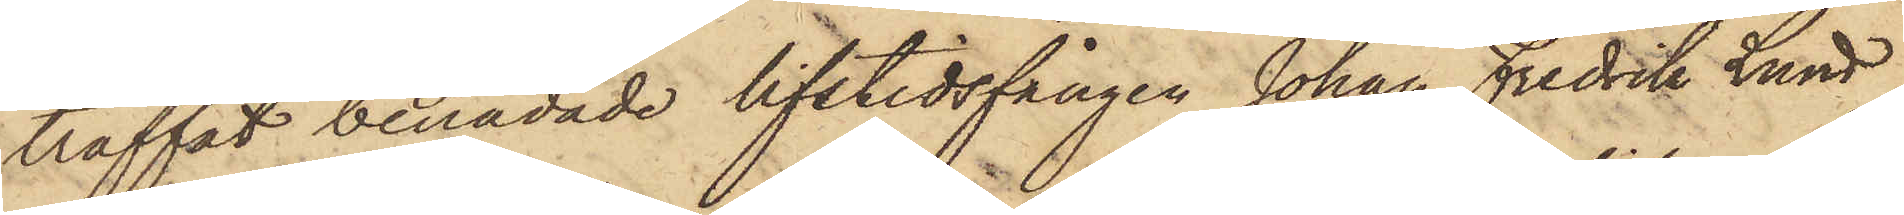träffat benådade lifstidsfången Johan Fredrik Lund
